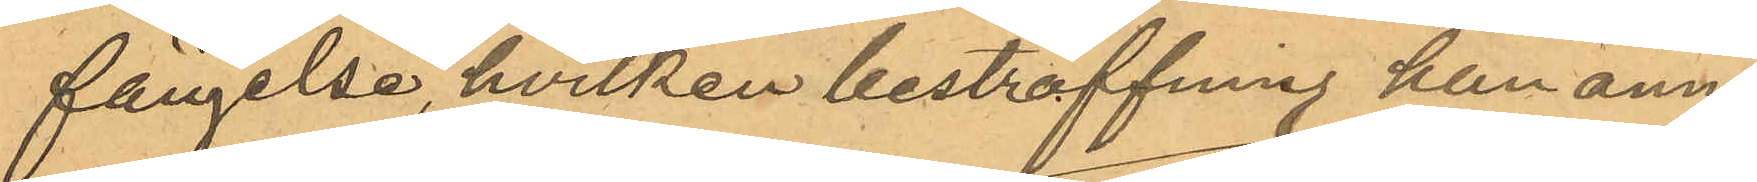fängelse, hvilken bestraffning han ännu
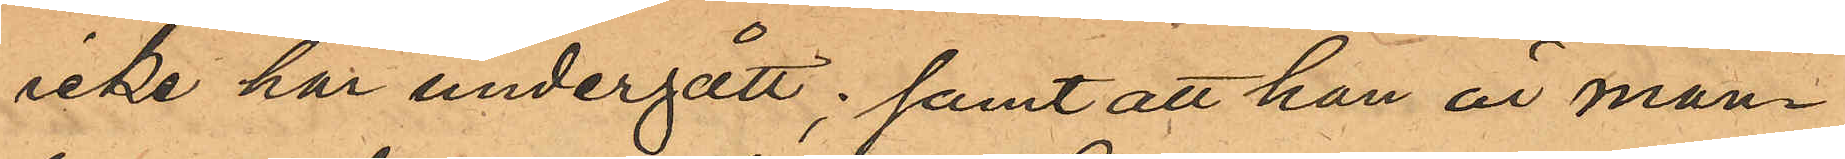icke har undergått; samt att han är man¬
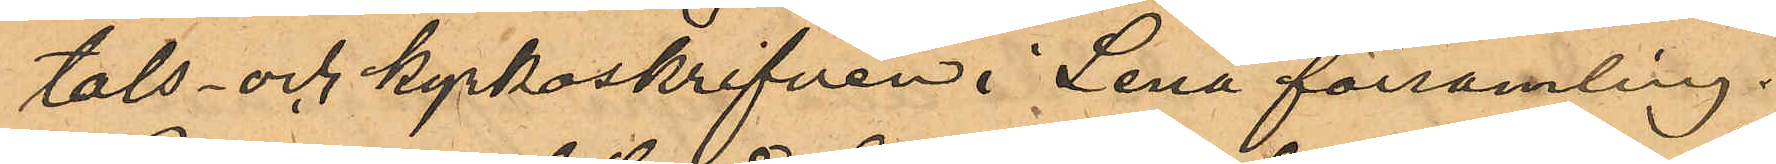tals- och kyrkoskrifven i Lena församling.
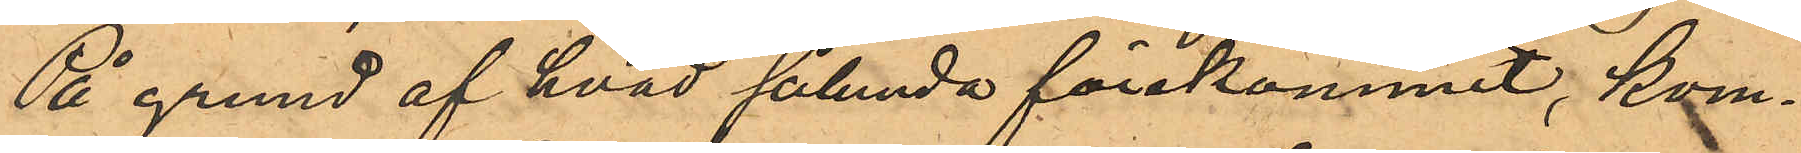På grund af hvad sålunda förekommit, kom¬
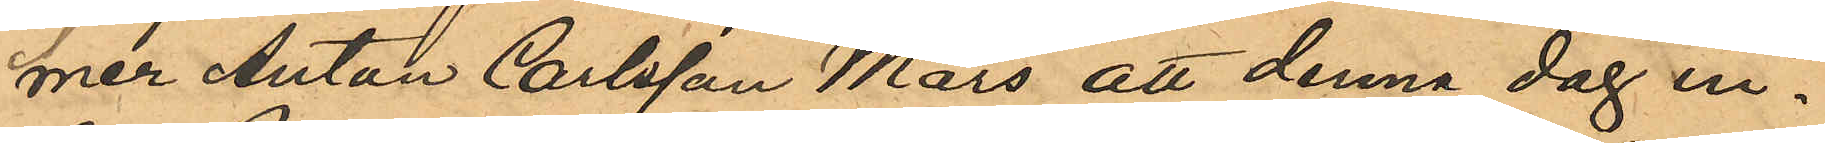mer Anton Carlsson Mars att denna dag in¬
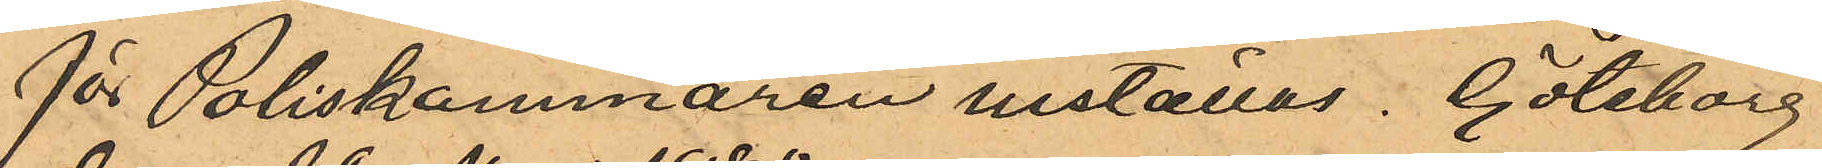för Poliskammaren inställas. Göteborg
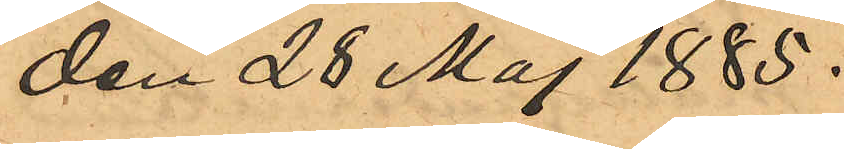den 28 Maj 1885.
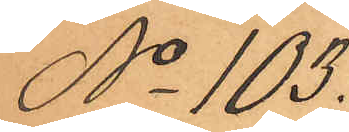No 103.
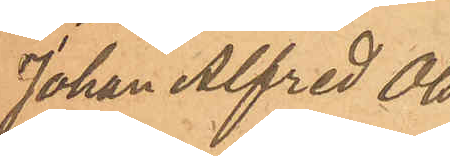Johan Alfred Ols¬
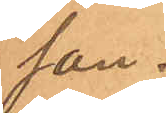son.
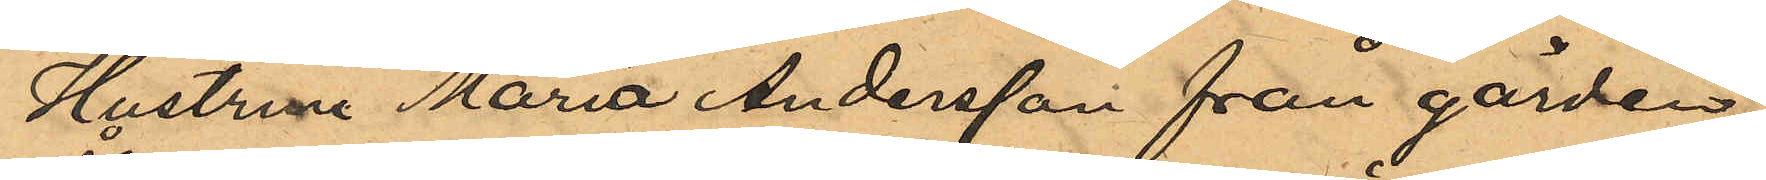Hustrun Maria Andersson från gården
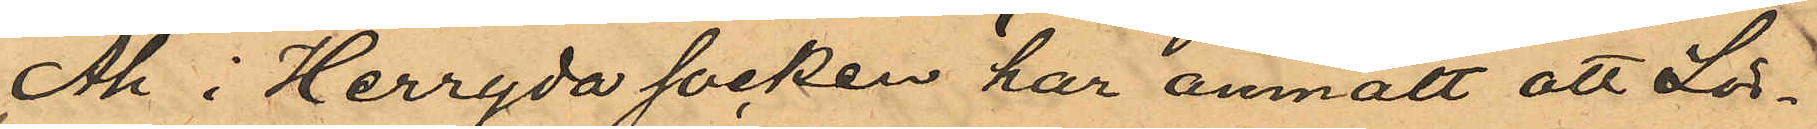Åh i Herryda socken har anmält att Lör¬
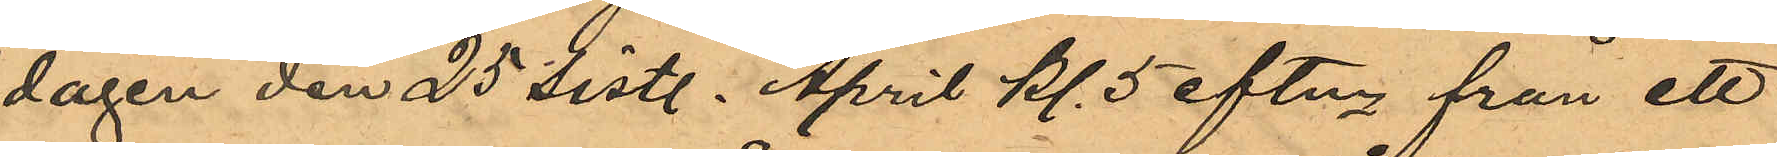dagen den 25 sist. April Kl. 5 eftm från ett
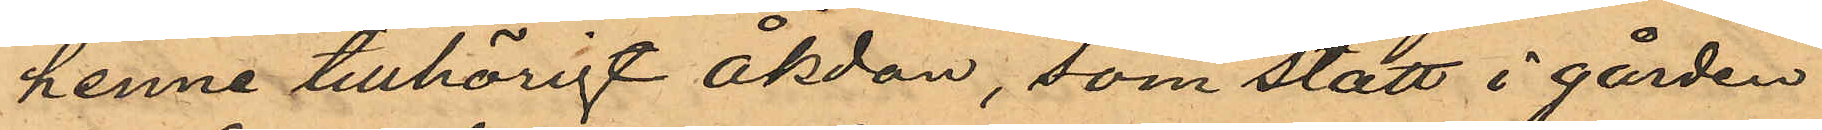henne tillhörigt åkdon, som stått å gården
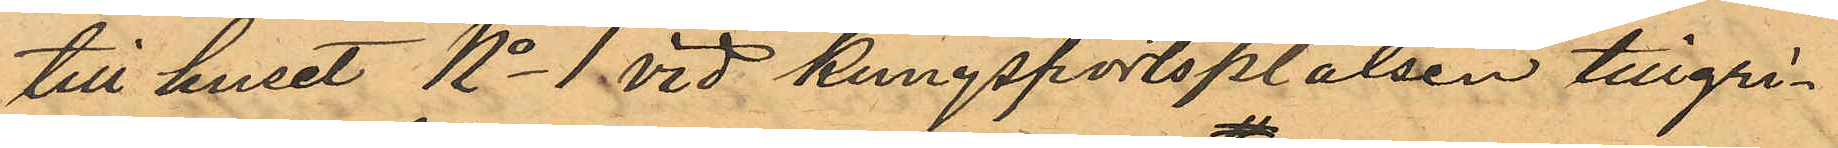till huset No 1 vid Kungsportsplatsen tillgri¬
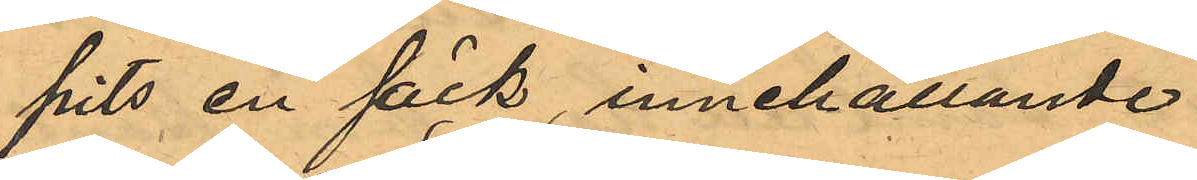pits en säck, innehållande
